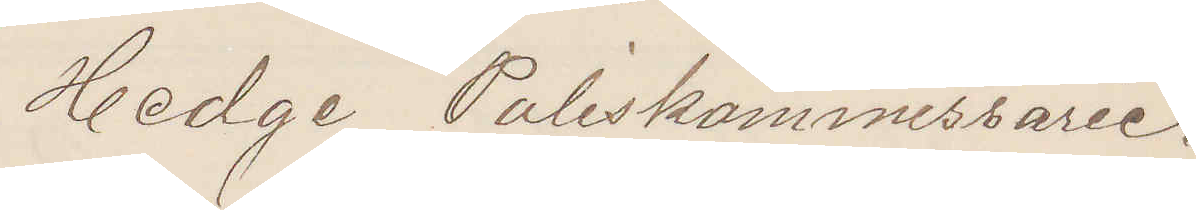Hedge Poliskommissarie.
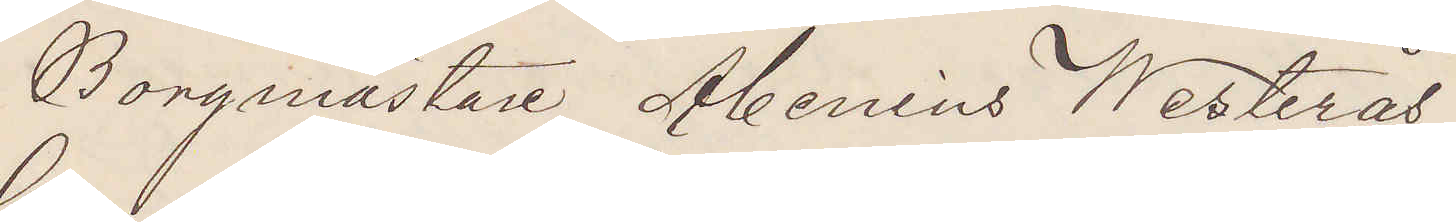Borgmästare Abenius Westerås
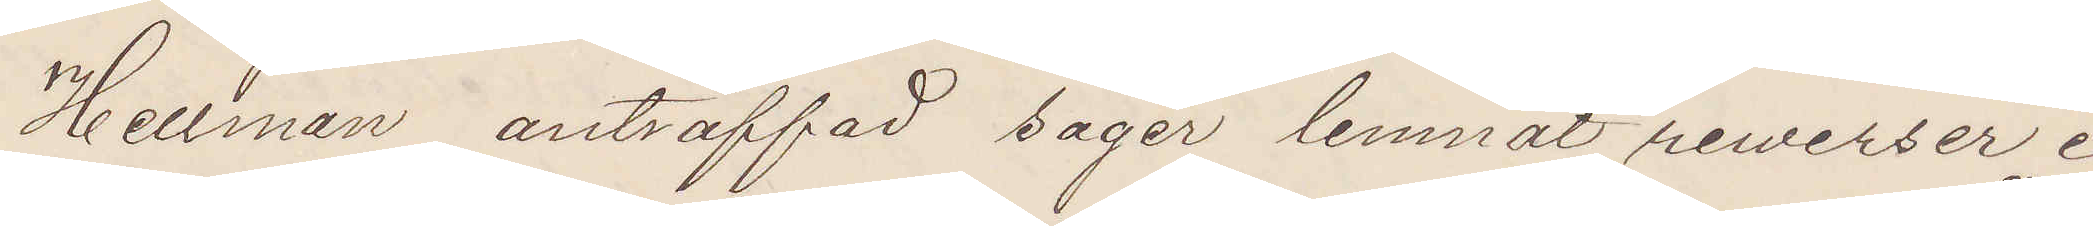Hellman anträffad säger lemnat rewerser i
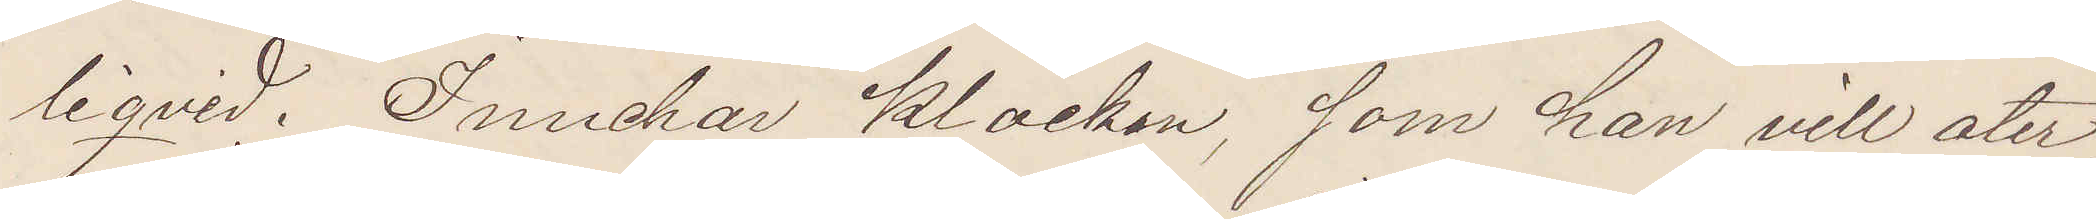liqvid. Innehar klockan, som han vill åter¬
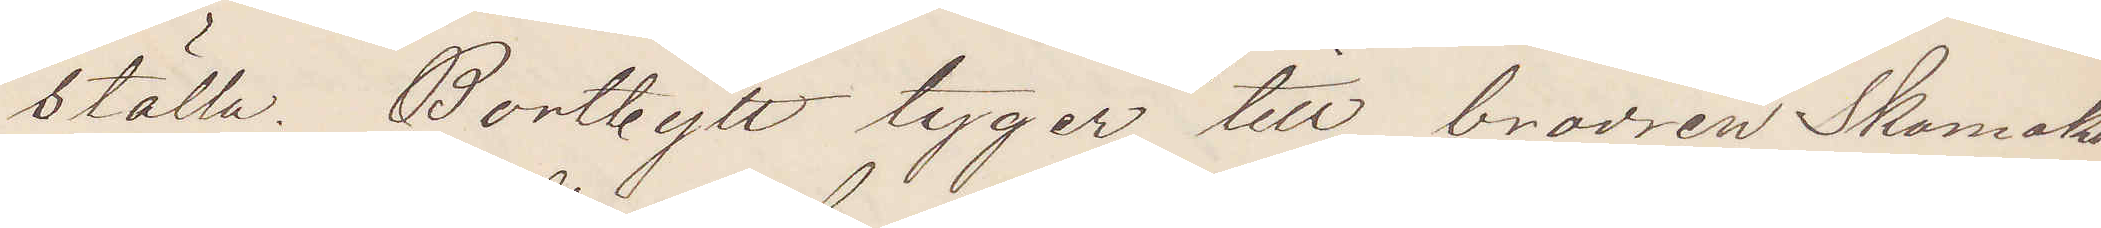ställa. Bortbytt tyger till brodren Skomakar
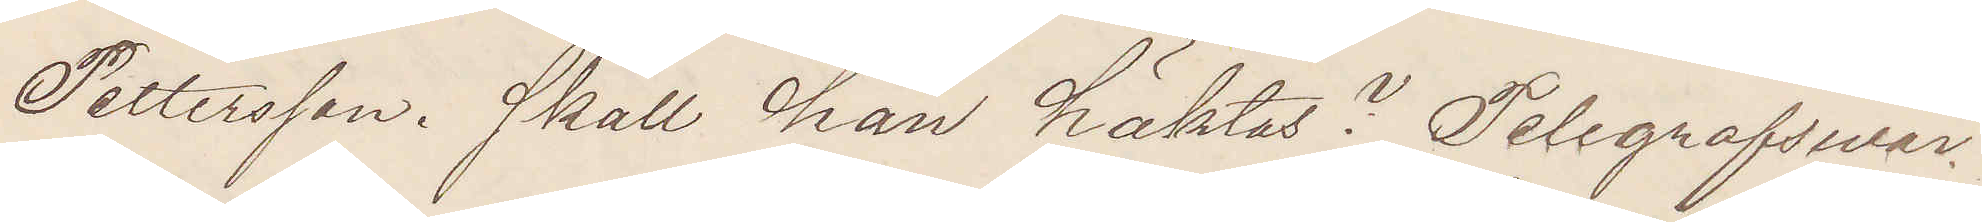Pettersson. Skall han häktas? Telegrafsvar.
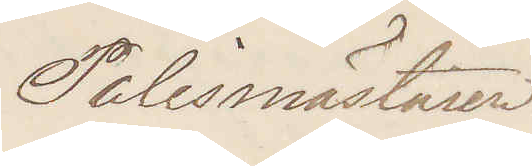Polismästaren.
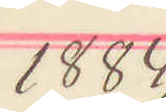1884
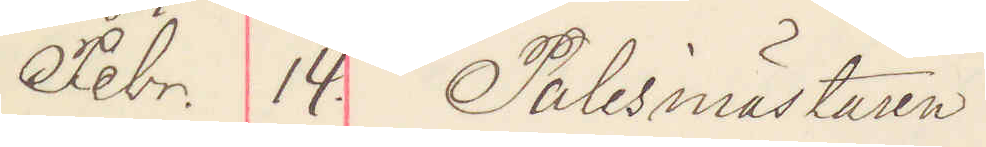Febr. 14. Polismästaren 
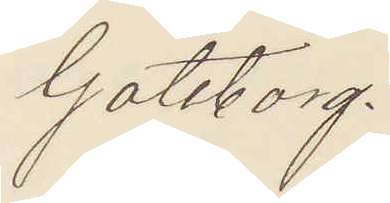Göteborg.
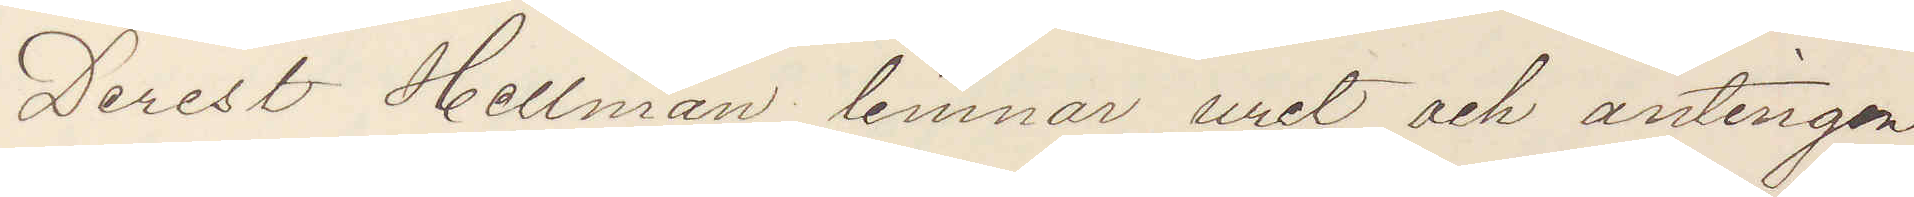Derest Hellman lemnar uret och antingen
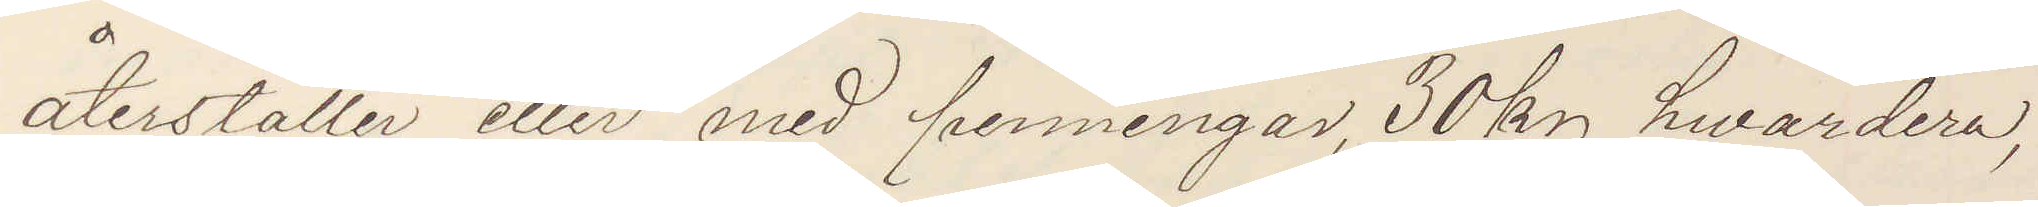återställer eller med penningar, 30 kr hvardera,
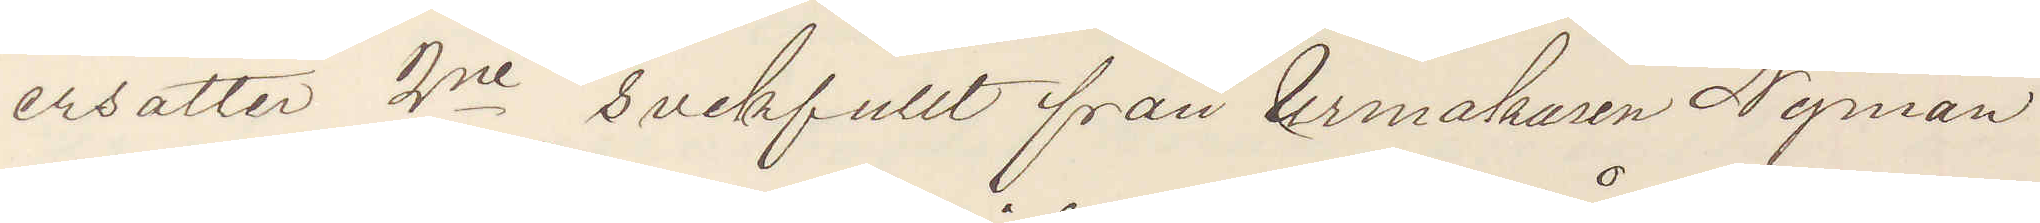ersätter 2ne svekfullt från Urmakaren Nyman
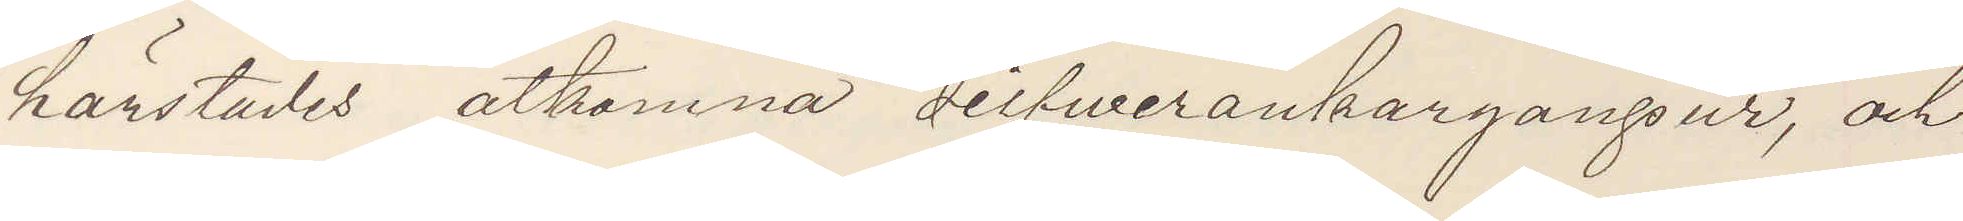hästädes åtkomna silfverankargångsur, och
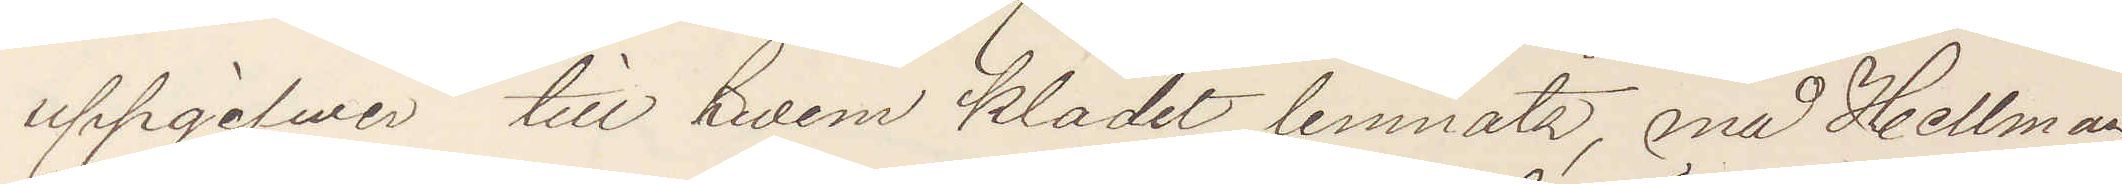uppgifver till hvem klädet lemnats, må Hellman
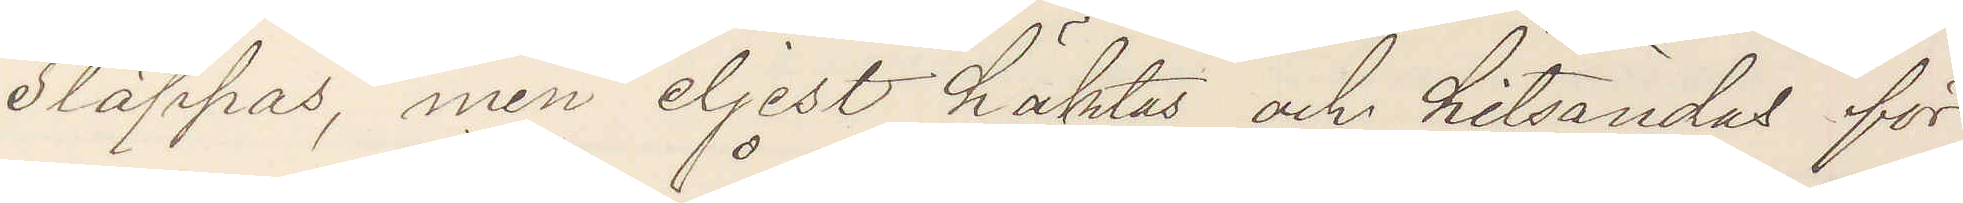släppas, men eljest häktas och hitsändas för
